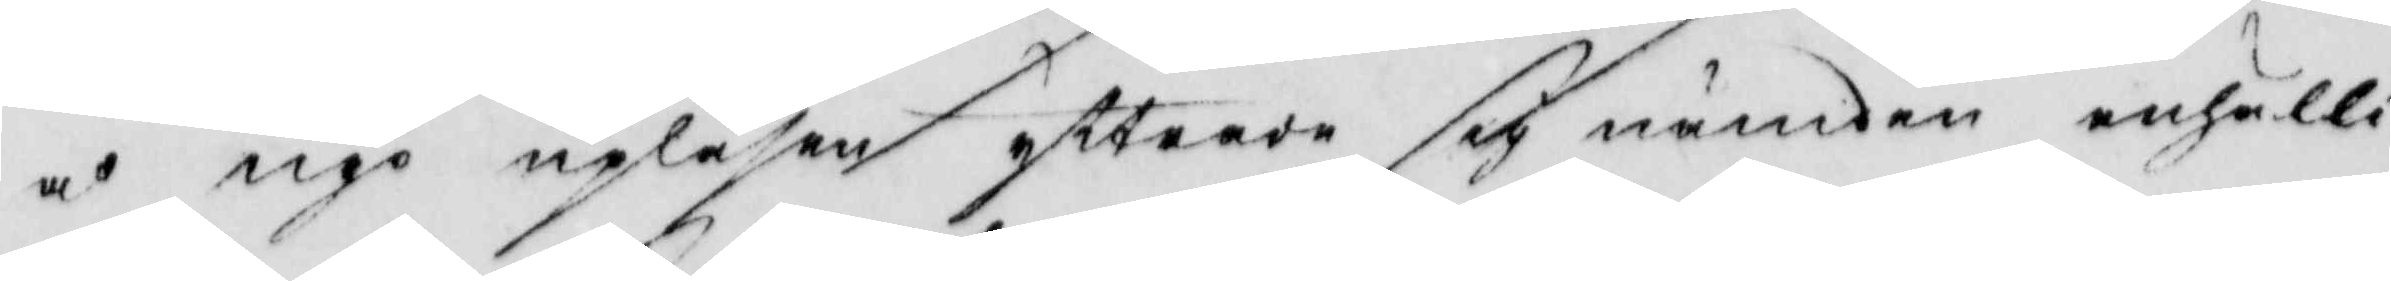å nyo upläsen yttrade sig nämden enhälli¬
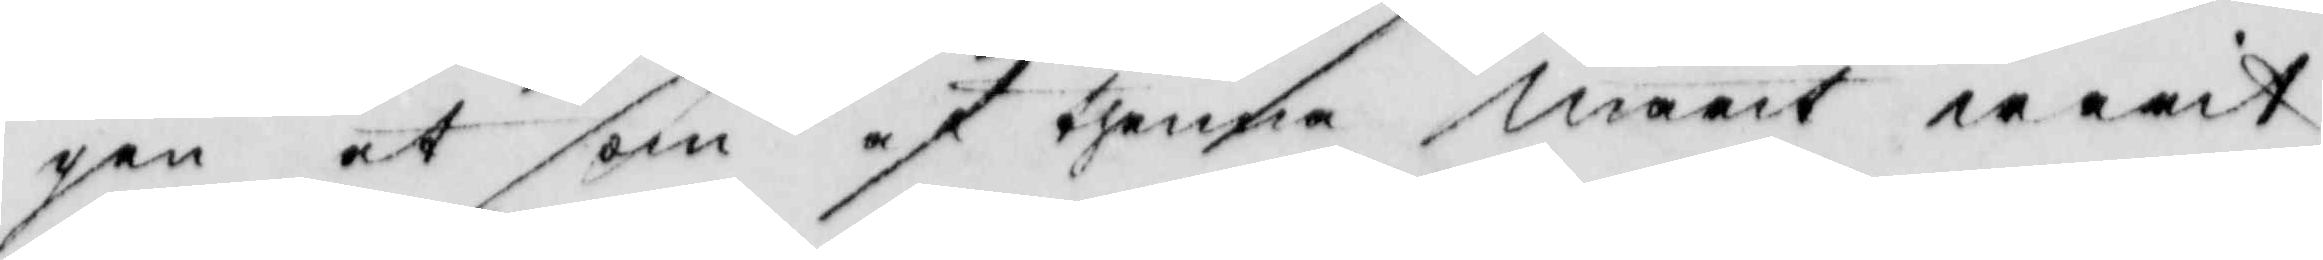gen at som af thenna marit warit
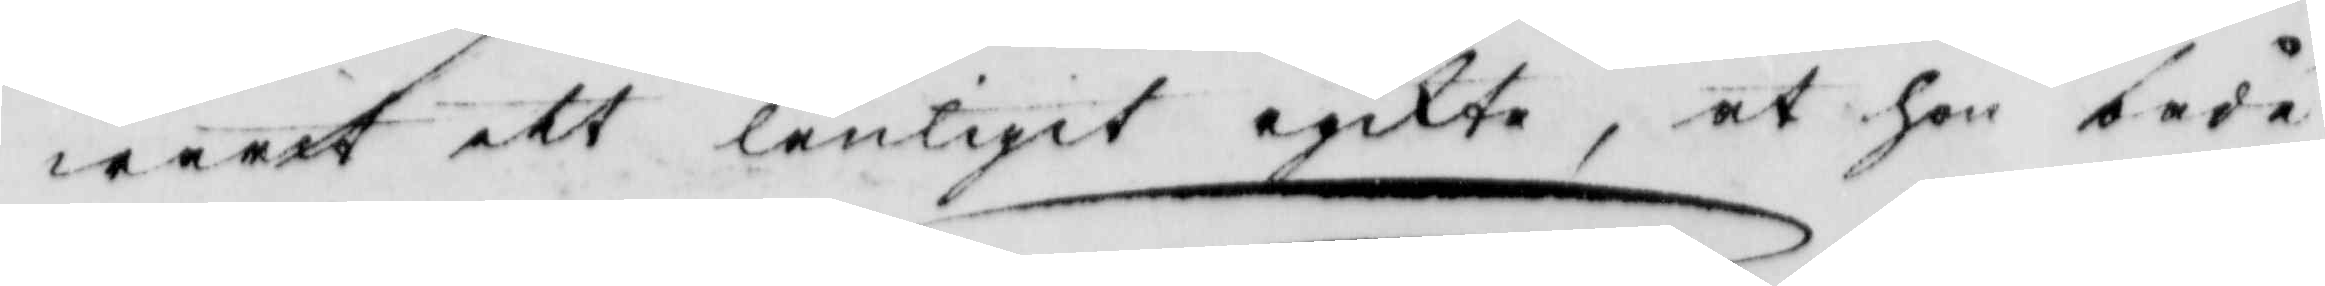warit ett lånligit ryckte, at hon både
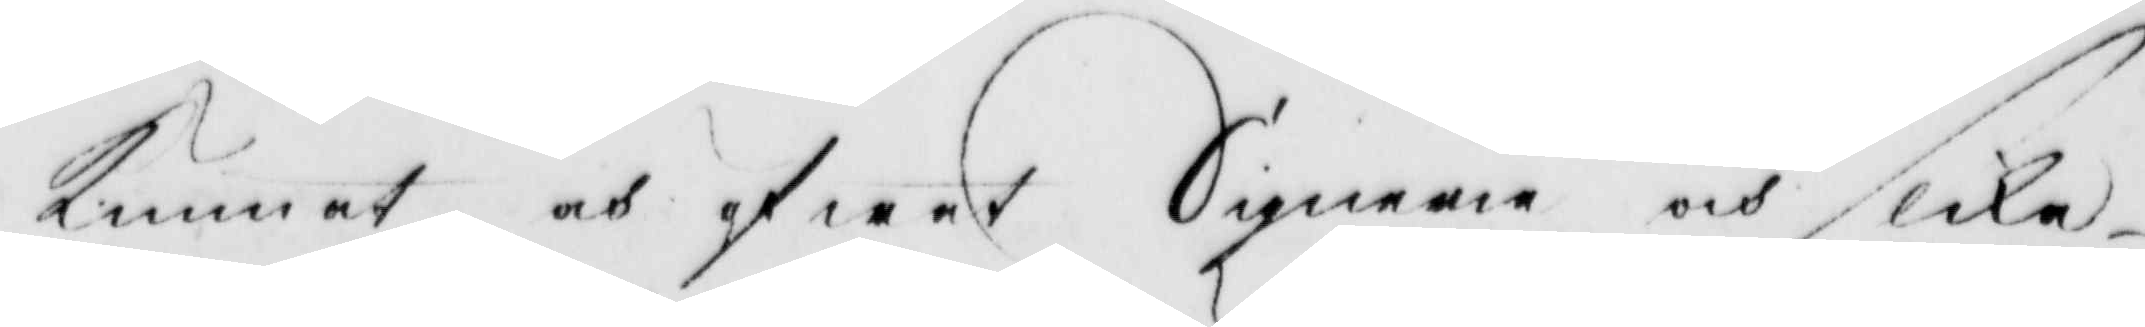Kunnat och öfwat Signerie och slika
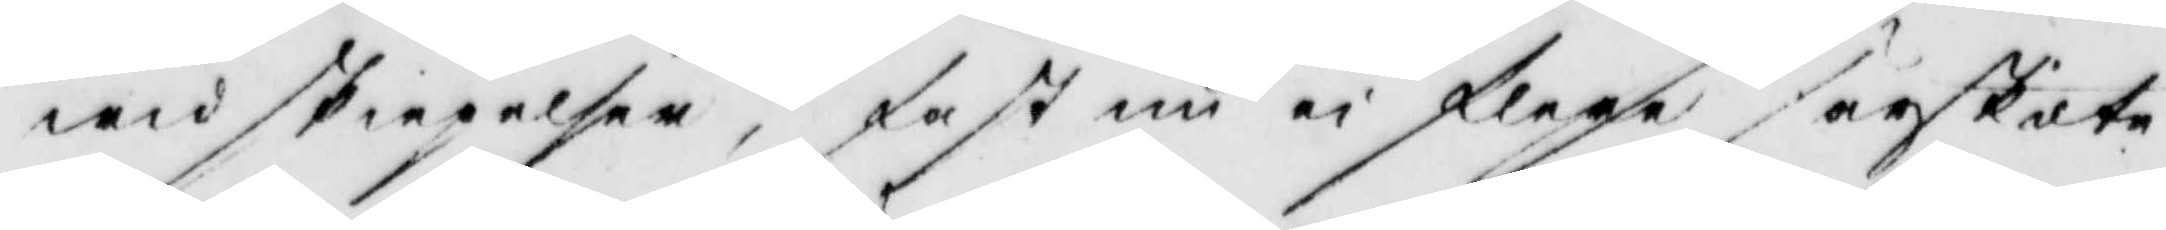widskiepelser, fast nu ei flera särskilte
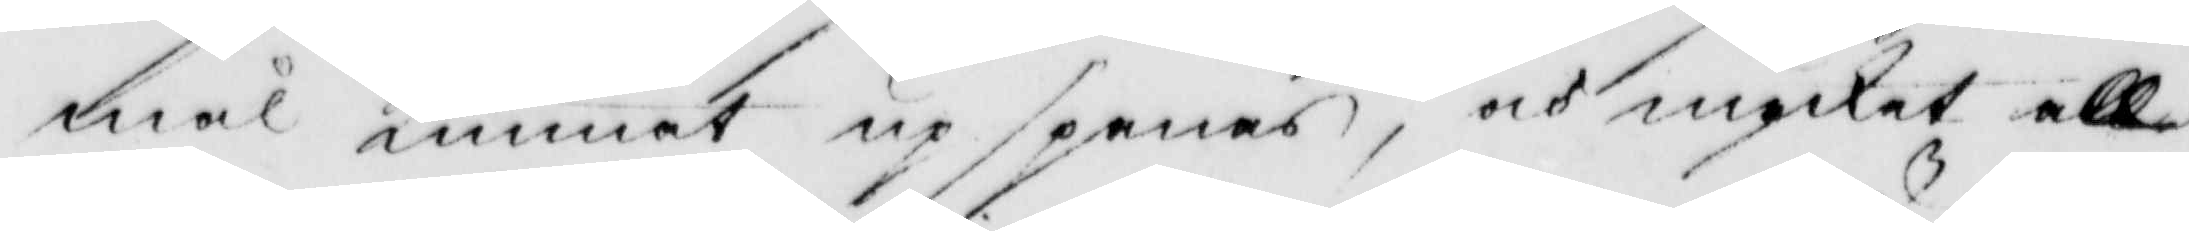mål Kunnat upspanas, och mycket all¬
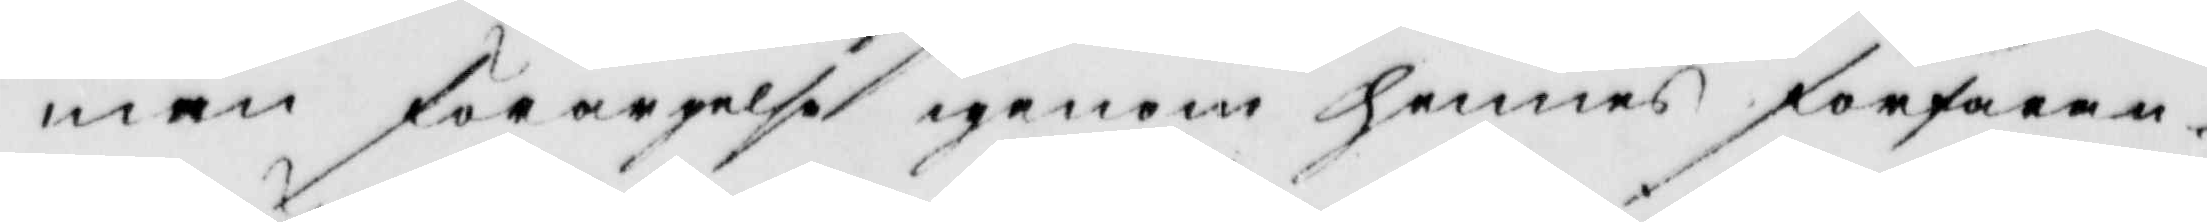men förargelse igenom hennes förfaran¬
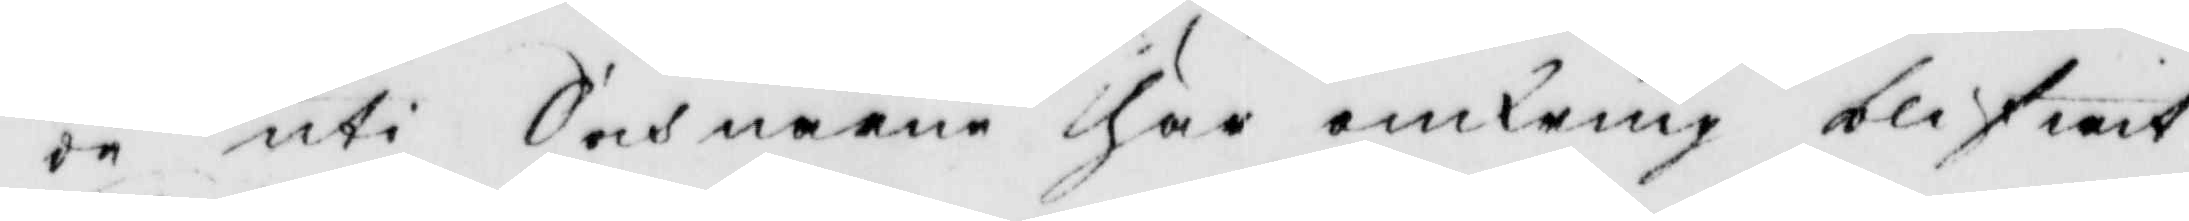de uti Sochnarne här omkring blifwit
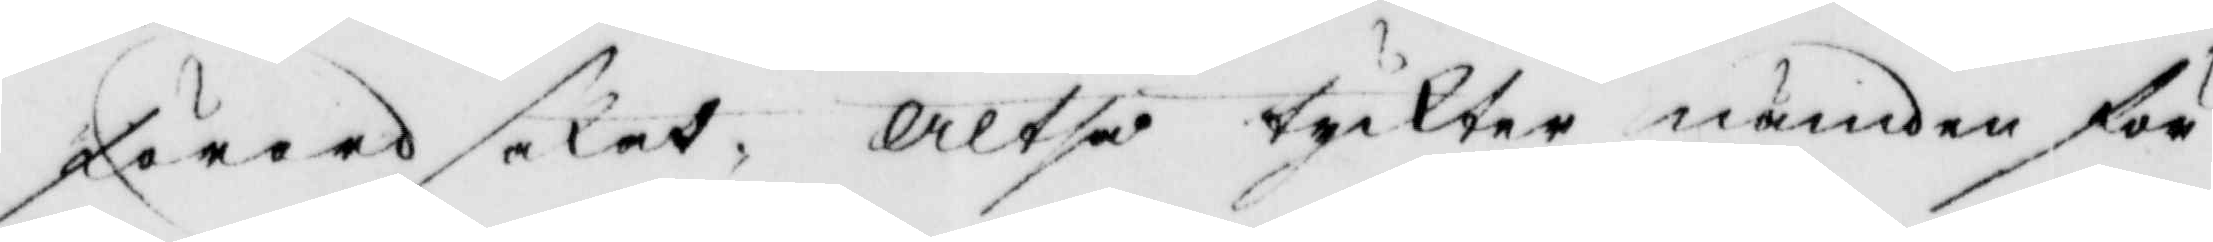förordsakat, Altså tyckter nämden för
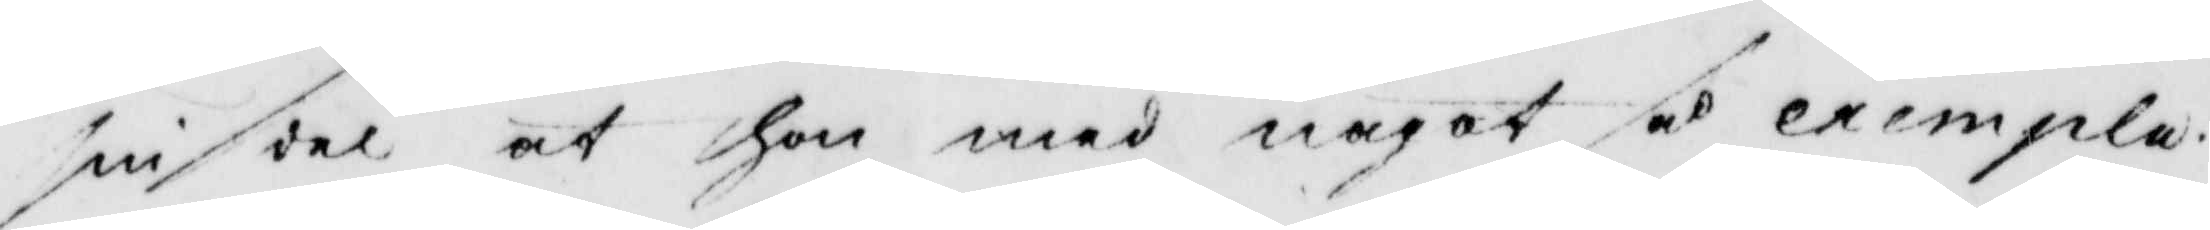sin dek at hon med något så exempla¬
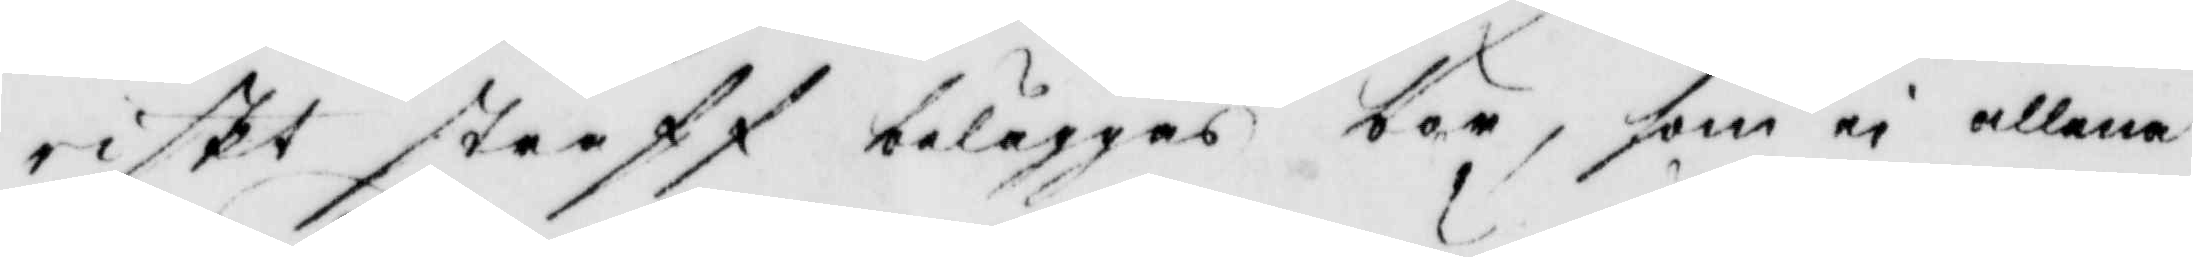riskt straff beläggas bör, som ei allena
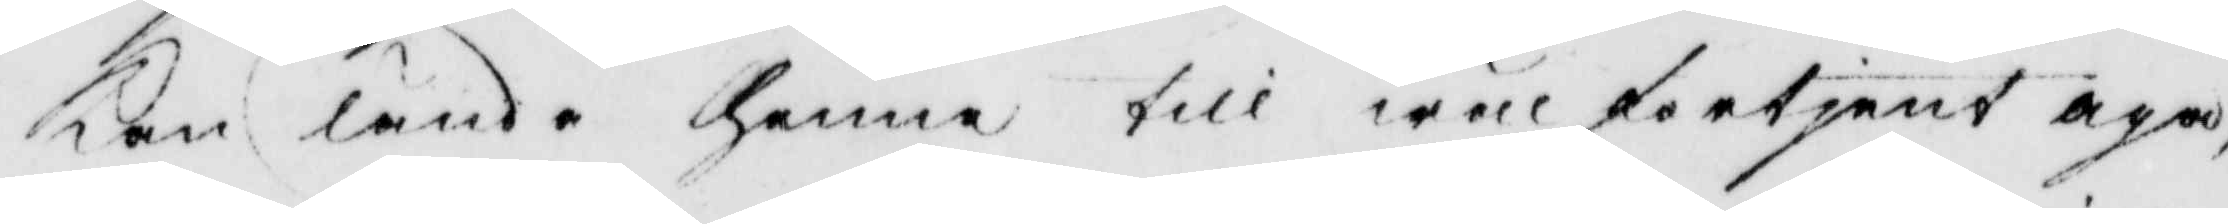Kan lända henne till wälförtjent aga,
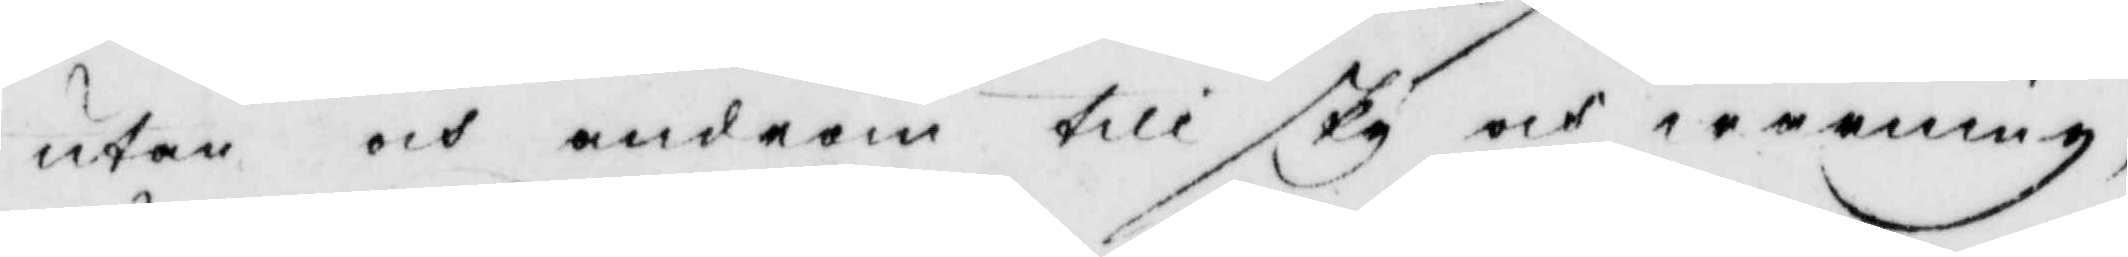utan och androm till sky och warning,
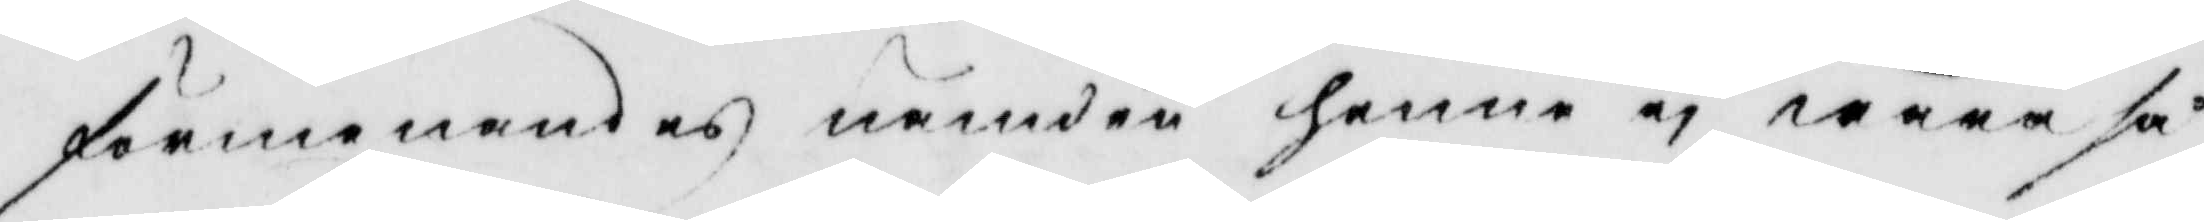förmenandes nämden henne ei wara så
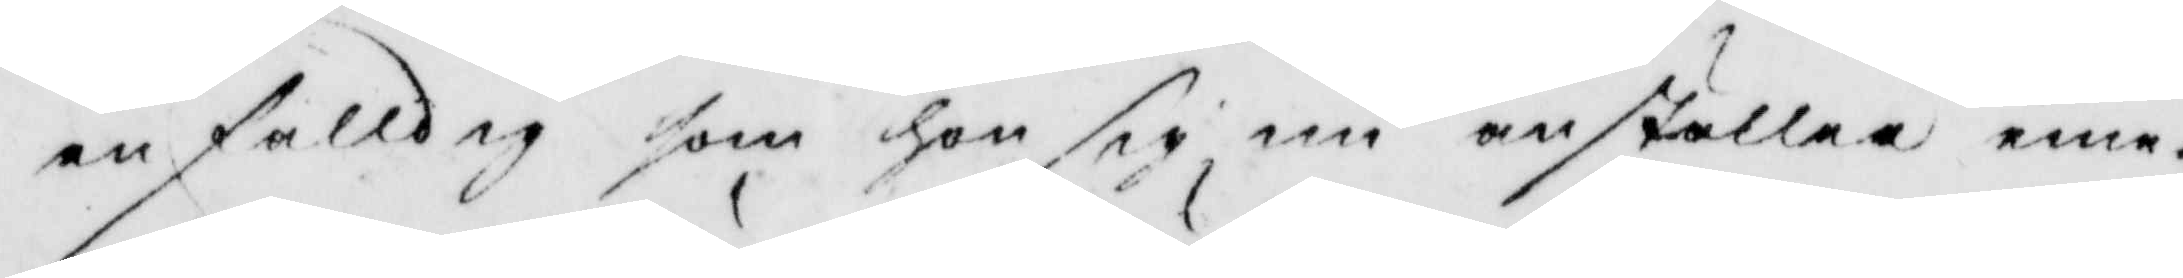enfalldig som hon sig nu anställen eme¬
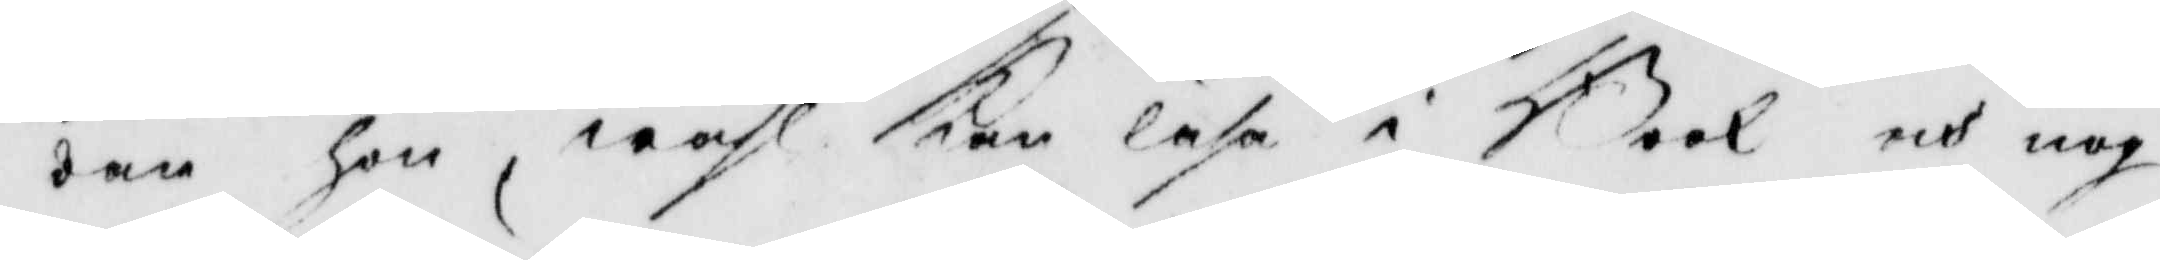dan hon wähl Kan läsa i Book och nog
